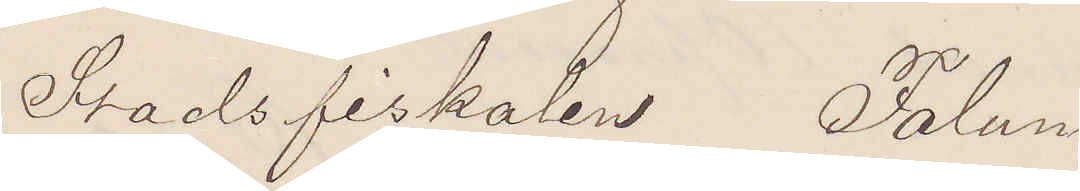Stadsfiskalen Falun
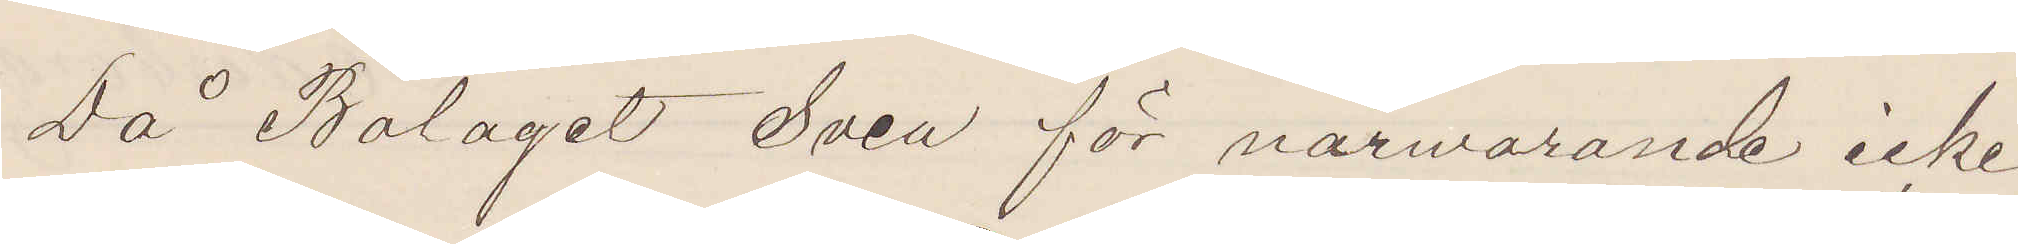Då Bolaget Svea för närwarande icke
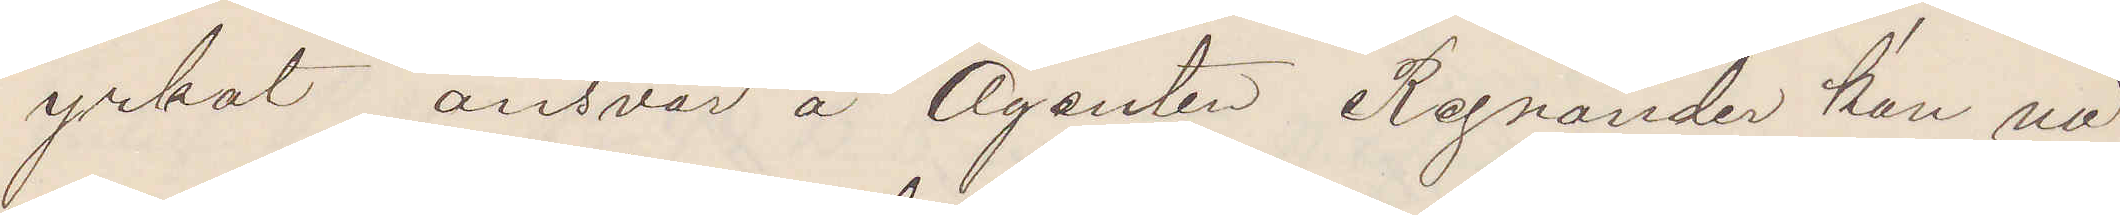yrkat ansvar å Agenten Regnander kan nå¬
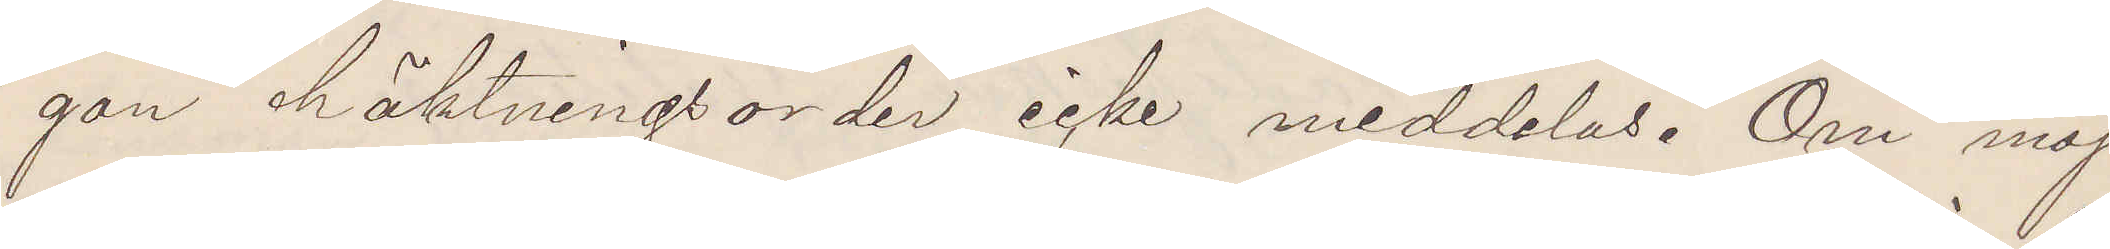gon häktningsorder icke meddelas. Om möj¬
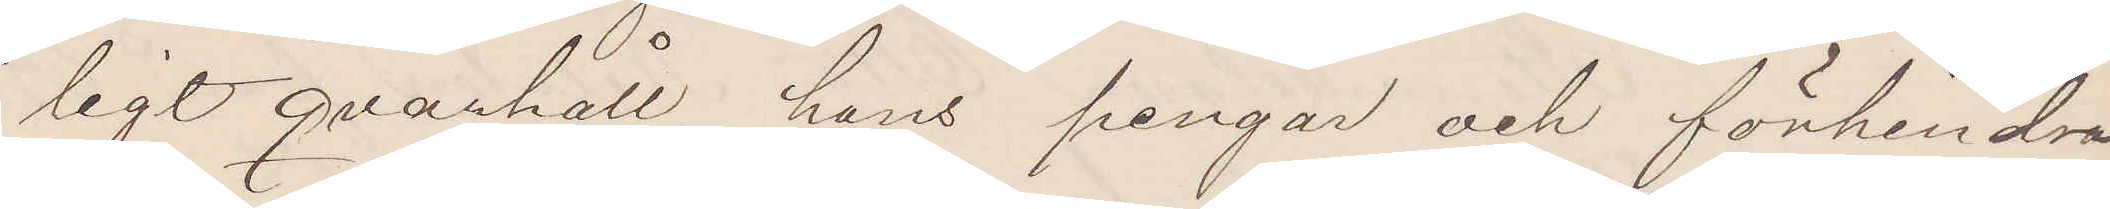ligt qvarhåll hans pengar och förhindra
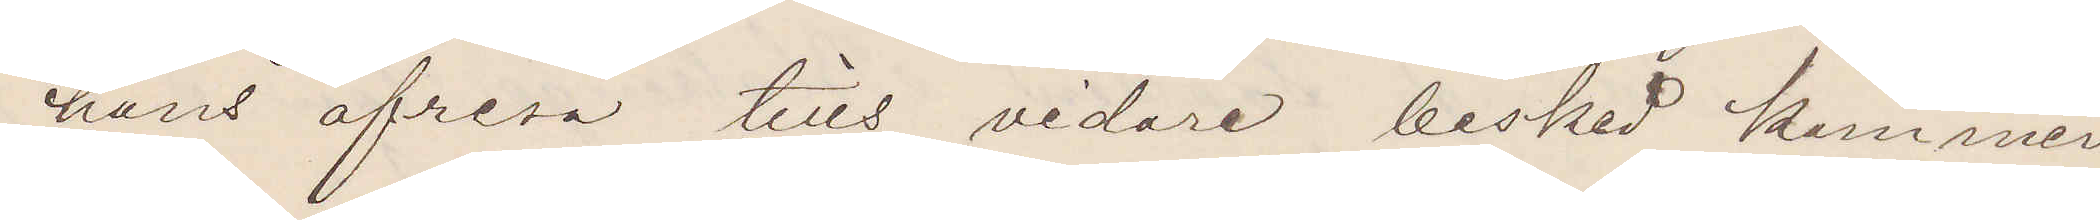hans afresa tills vidare besked kommer.
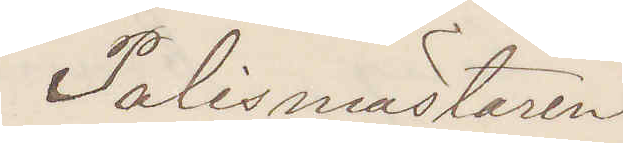Polismästaren.
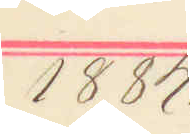1884.
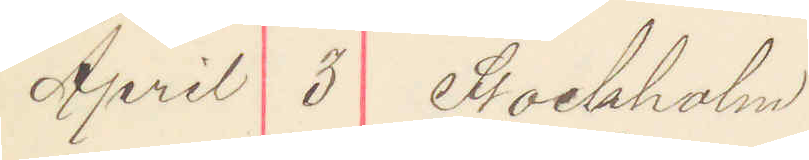April 3 Stockholm
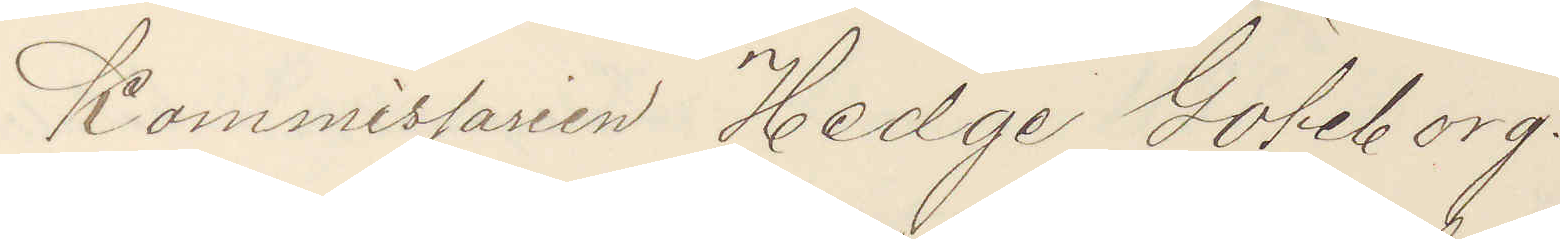Kommissarien Hedge Göteborg.
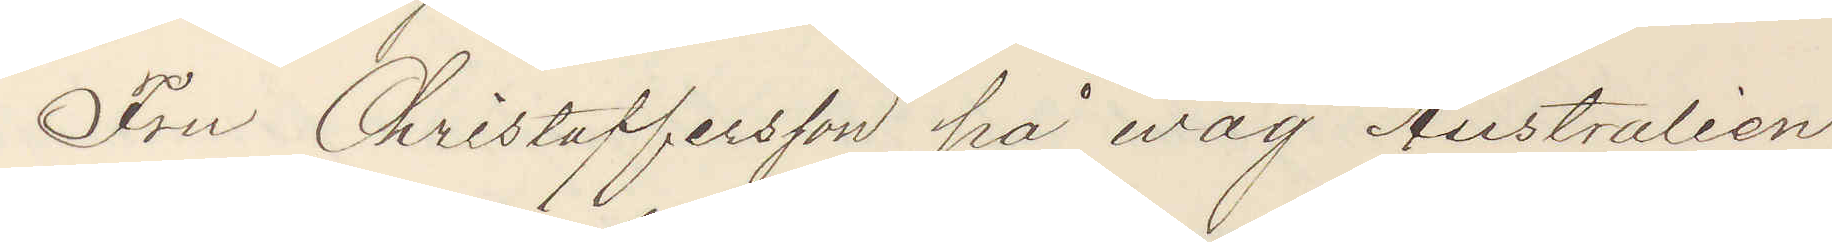Fru Christofferson på wäg Australien
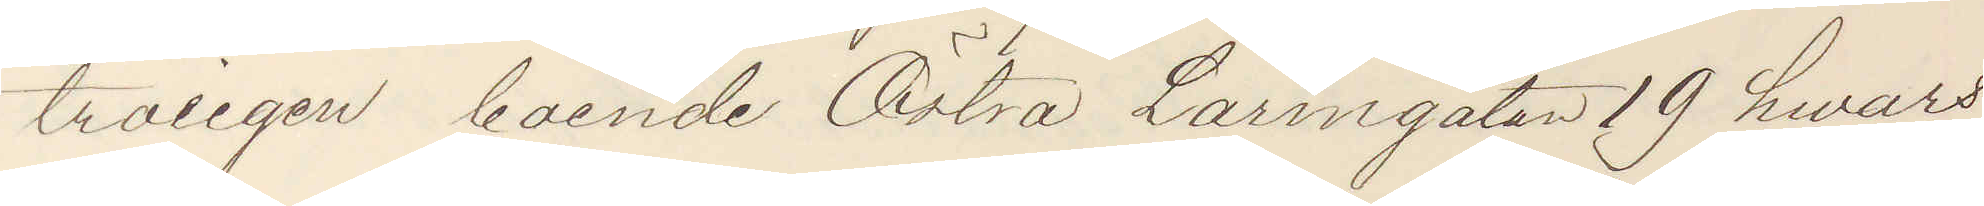troligen boende Östra Larmgatan 19 hwars
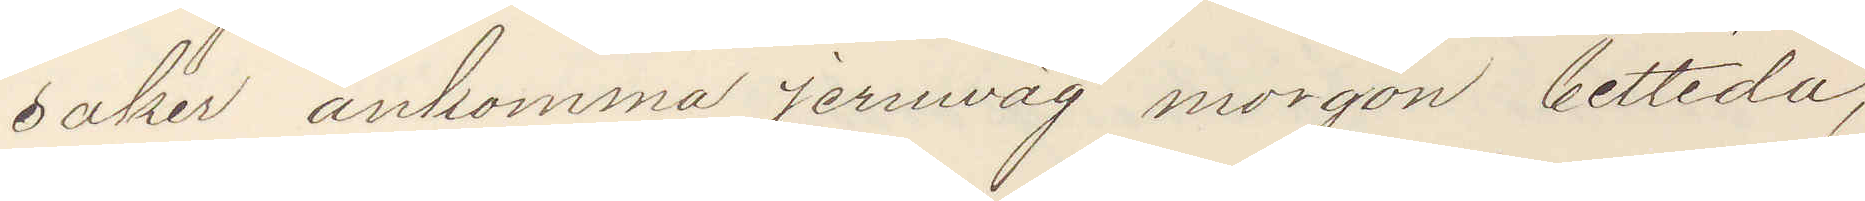saker ankommer jernväg morgon bittida,
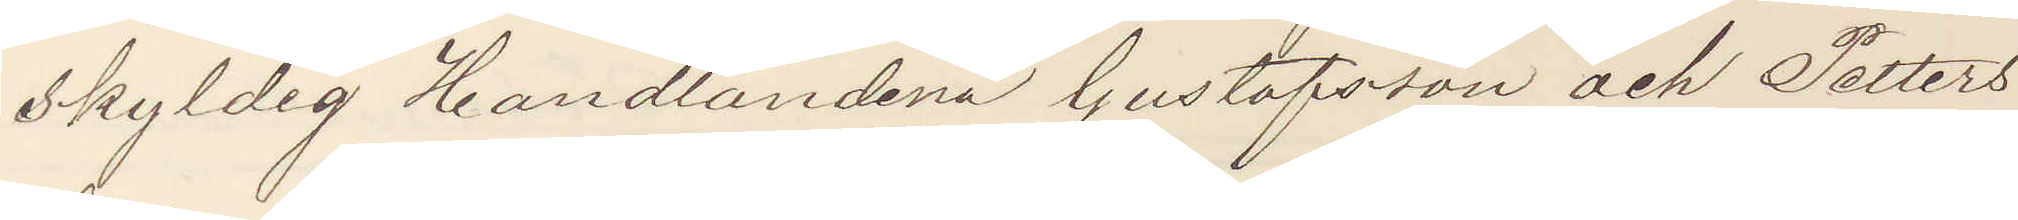skyldig Handlandena Gustafsson och Petters¬
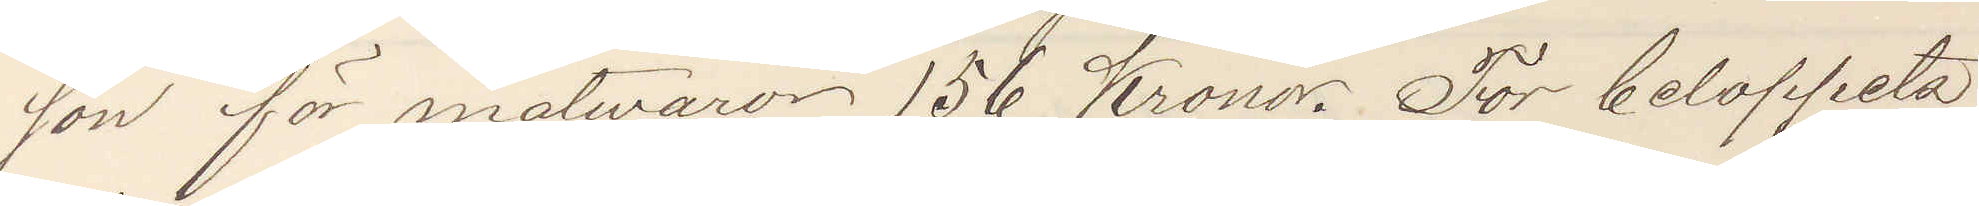osn för matwaror 156 Kronor. För beloppets
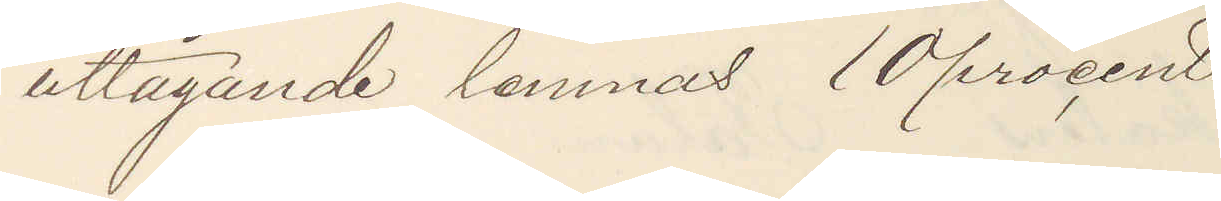uttagande lemnas 10 procent
